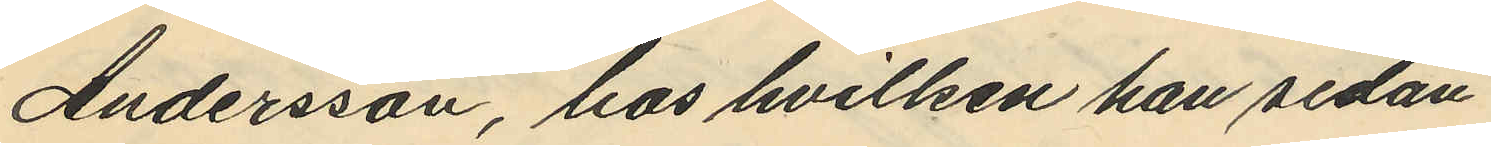Andersson, hos hvilken han sedan
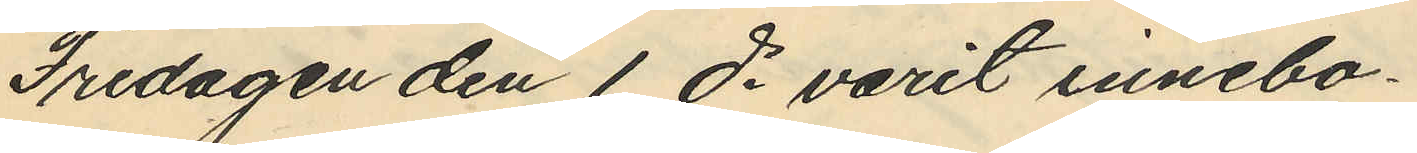Fredagen den 1 ds varit innebo¬
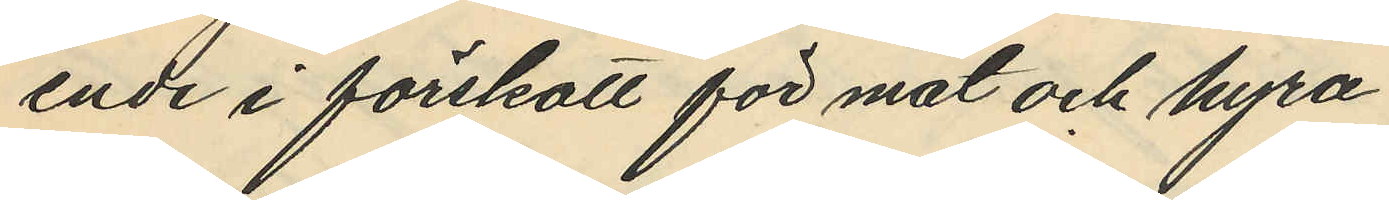ende i förskott för mat och hyra
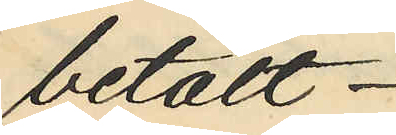betalt
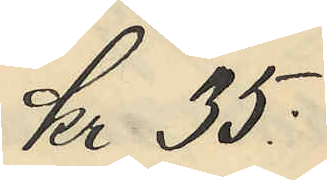Kr. 35:
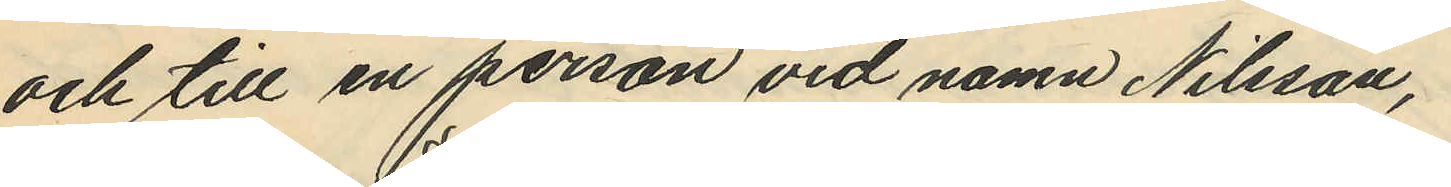och till en person vid namn Nilsson,
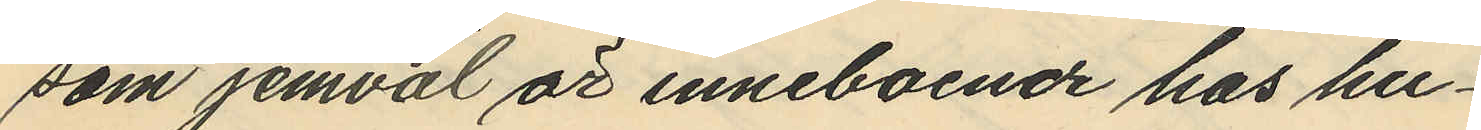som jemväl är inneboende hos hu¬
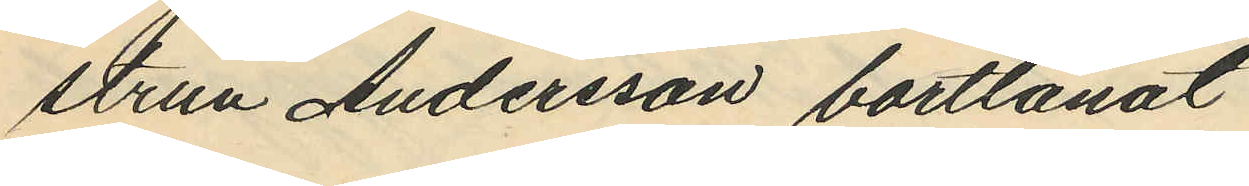strun Andersson bortlånat
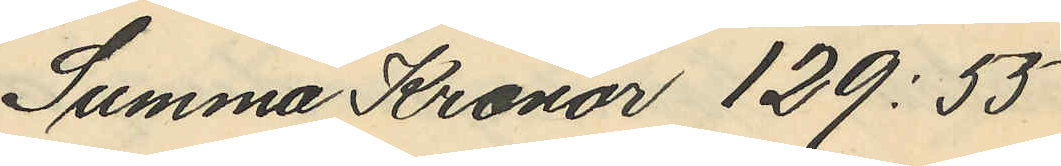Summa Kronor 129:55
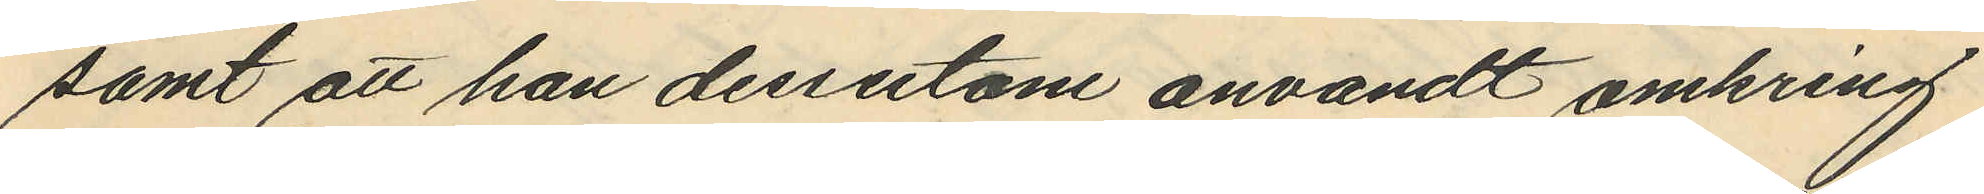samt att han dessutom anvandt omkring
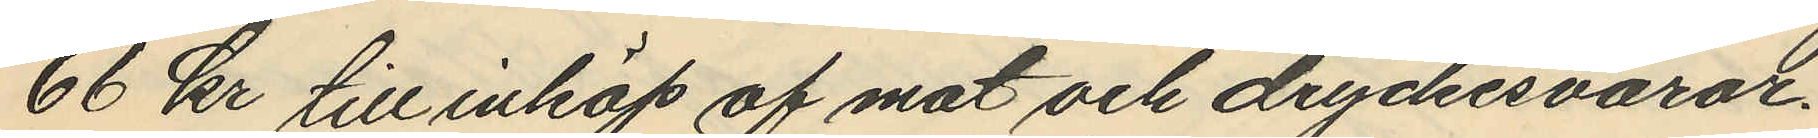66 kr till inköp af mat och dryckesvaror.
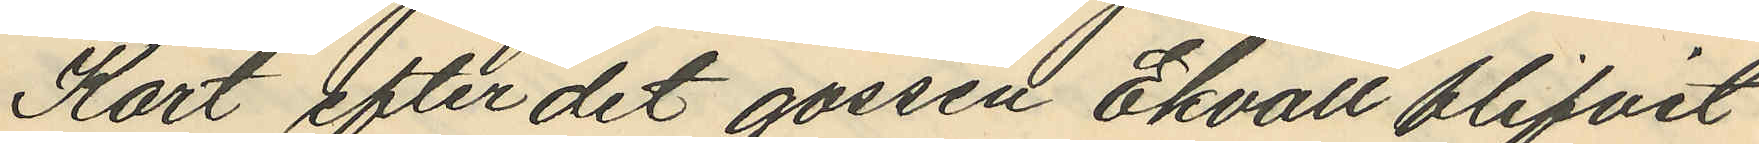Kort efter det gossen Ekvall blifvit
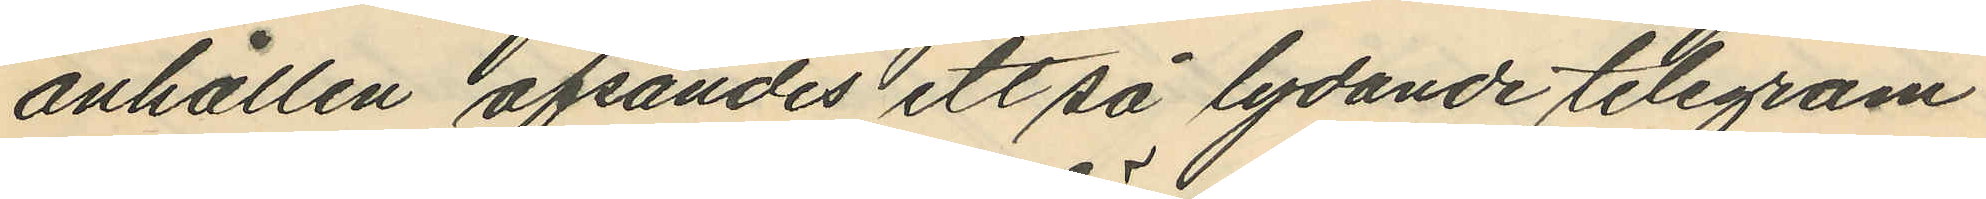anhållen afsändes ett så lydande telegram
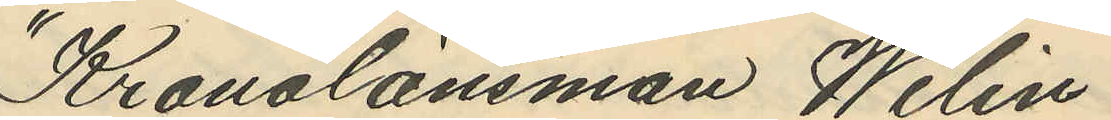"Kronolänsman Welin
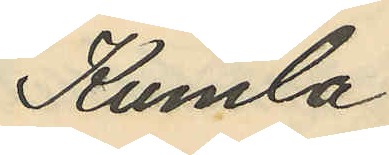Kumla
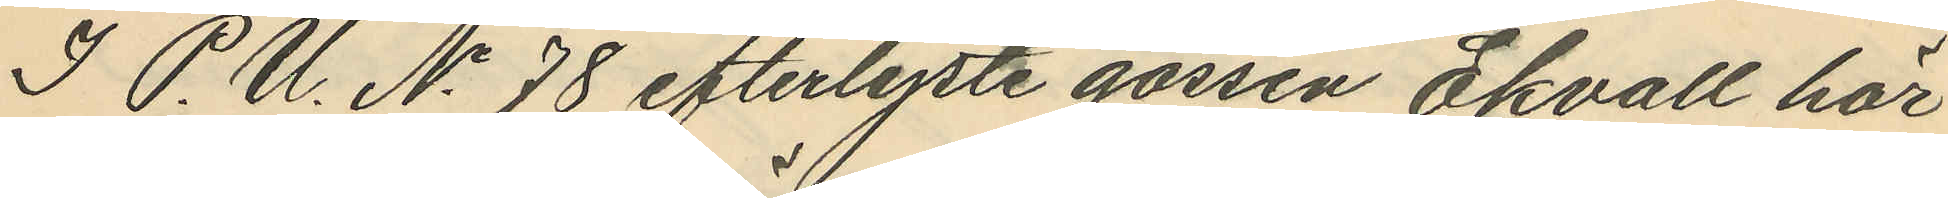I P.U. No 78 efterlyste gossen Ekvall här
